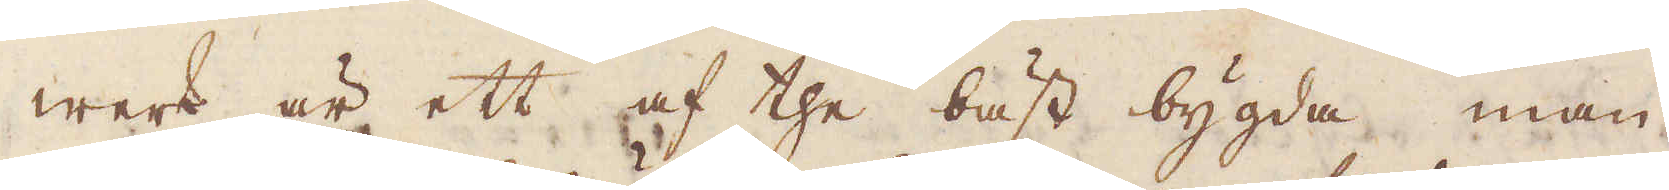werk är ett af the bäst bygda man
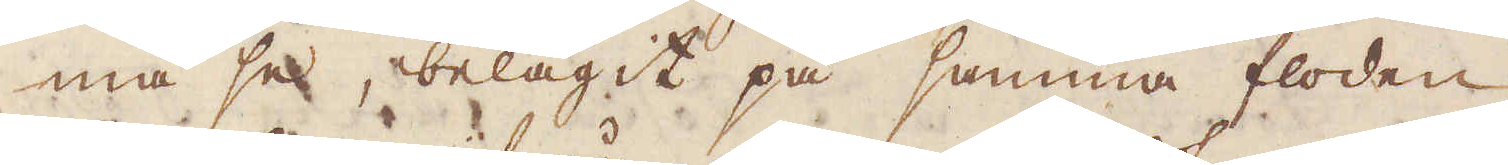må se, belägit på samma floden
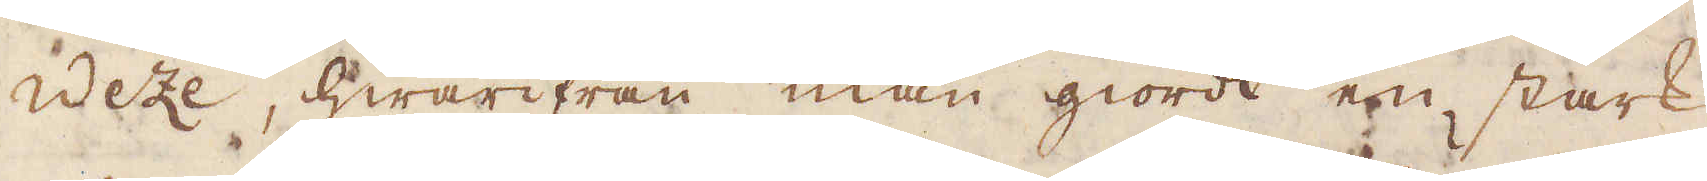Weze, hwarifrån man giordt en stark
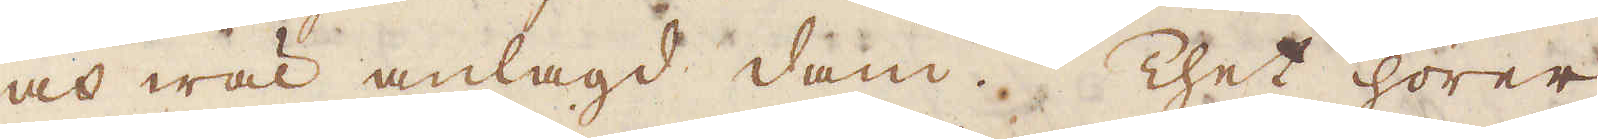och wäl anlagd dam. Thet hörer
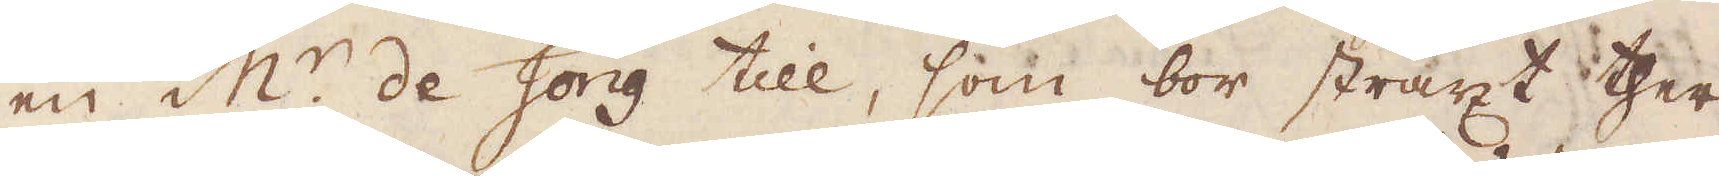en M:r de Jong till, som bor straxt ther-
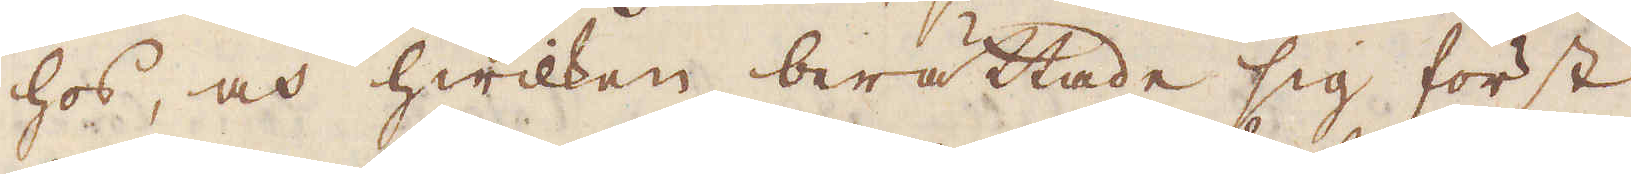hos, och hwilken berättade sig först
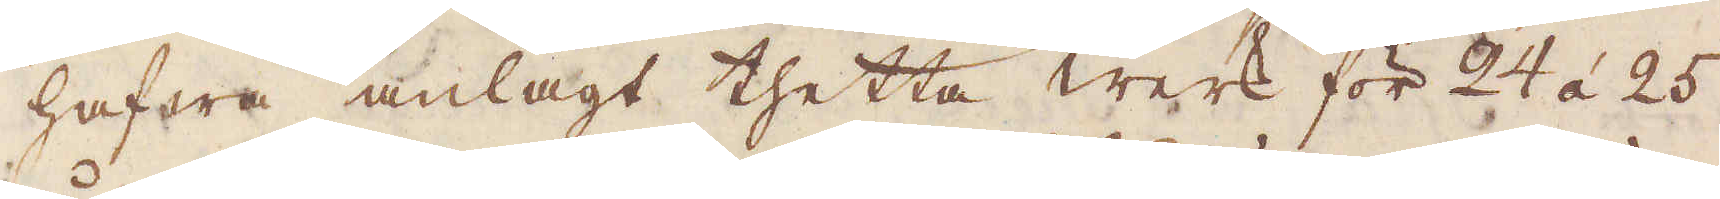hafwa anlagt thetta werk för 24 á 25
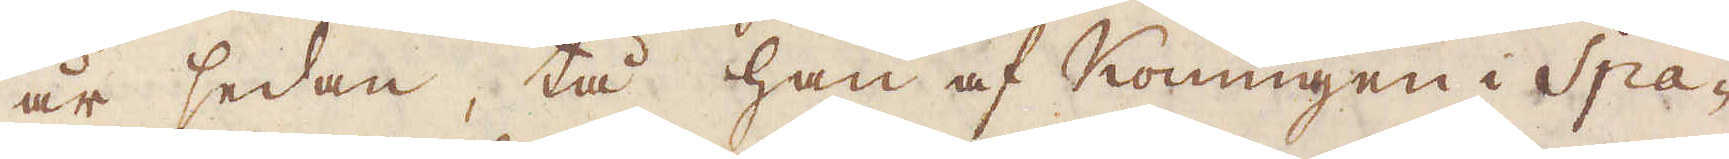år sedan, tå han af Konungen i Spa-
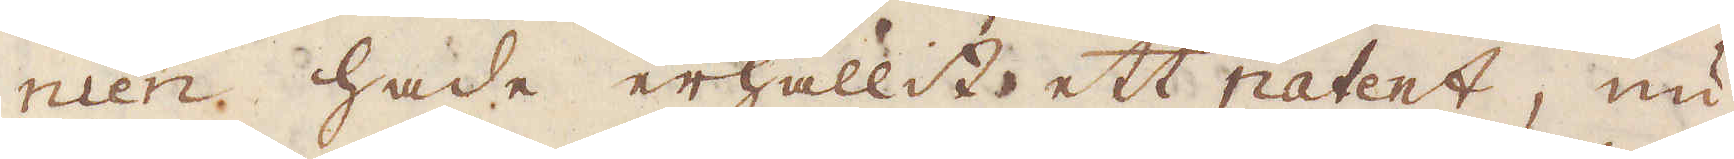nien hade erhållit ett patent, nu
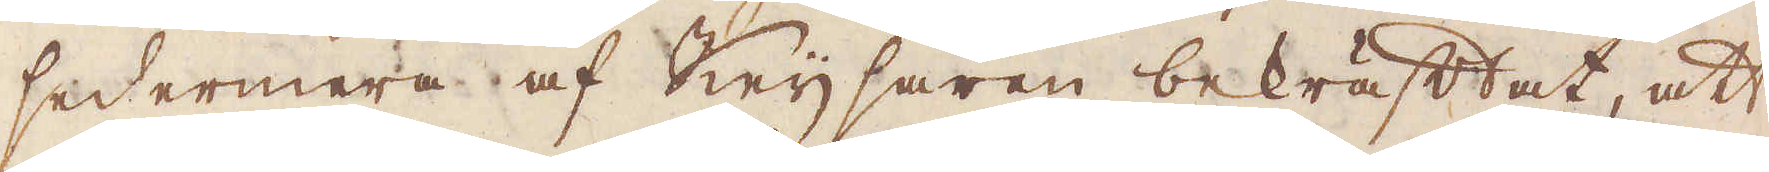sedermera  af Keijsaren bekräftat, att
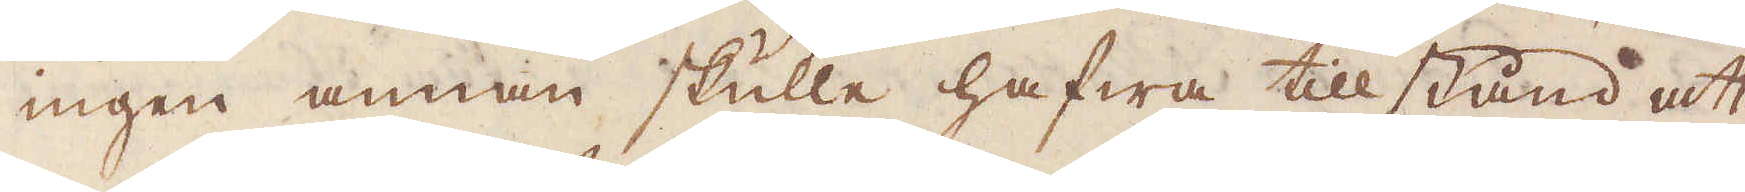ingen annan skulle hafwa tillstånd att
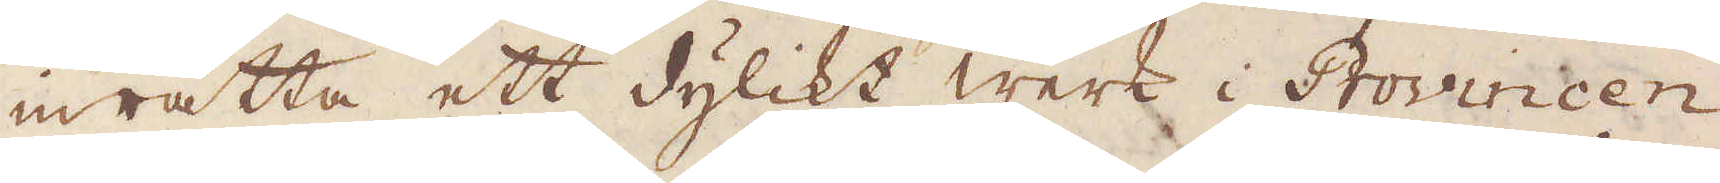inrätta ett dylikt werk i Provincen
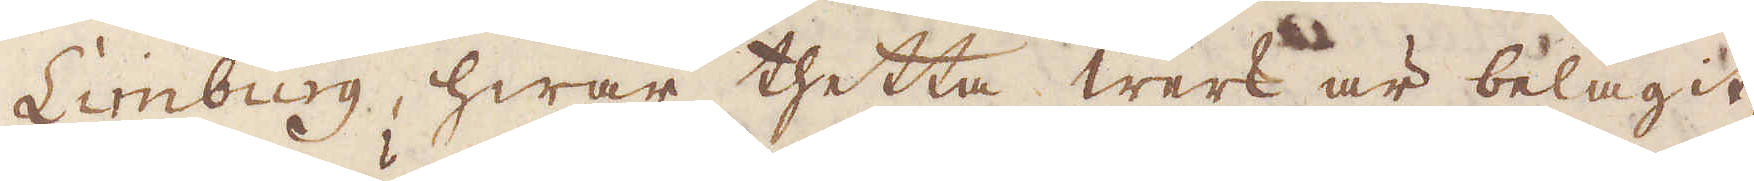Limburg, hwar thetta werk är belägit,
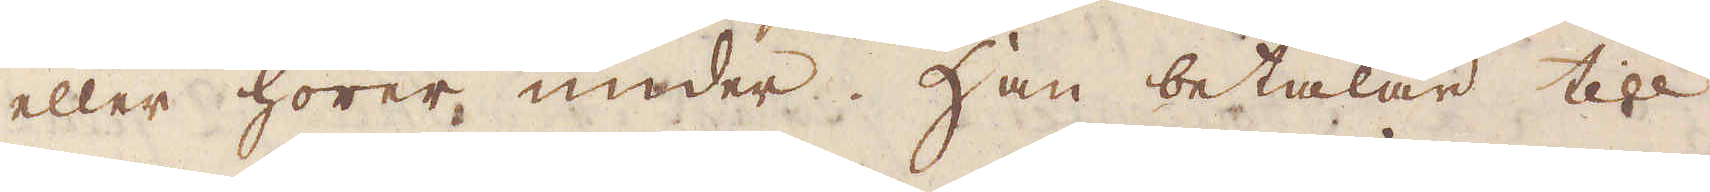eller hörer under. Han betalar till 
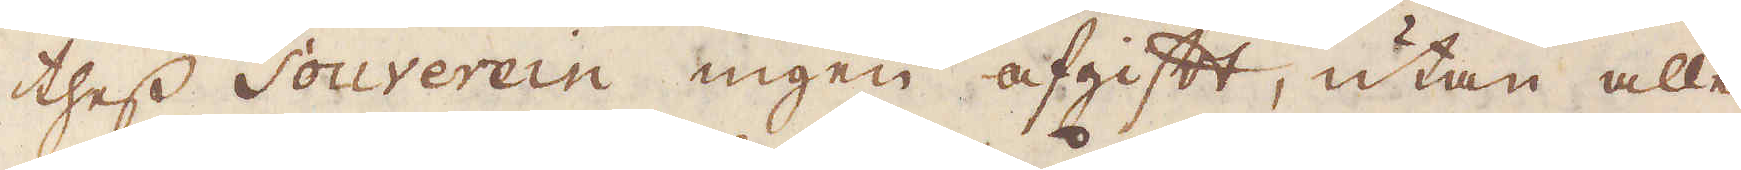thess Souverein ingen afgift, utan alle-
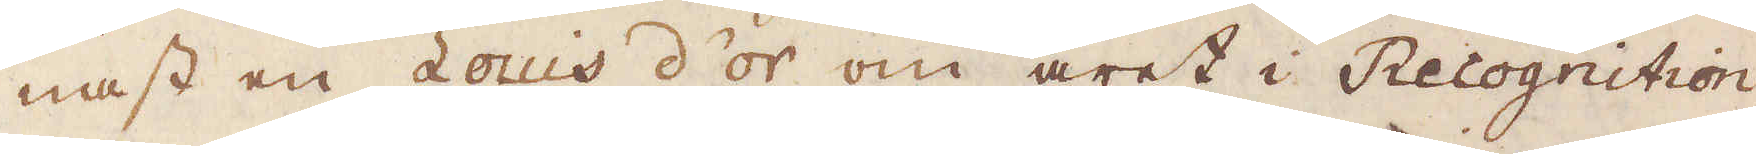nast en Louis d'or om året i Recognition,
